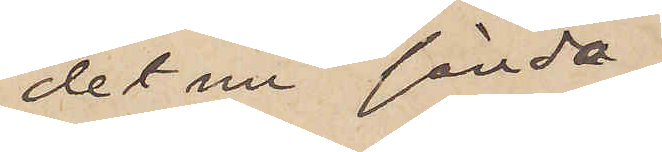det nu sända
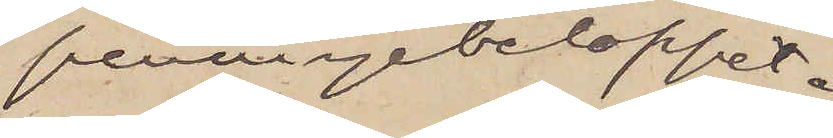penningebeloppet.
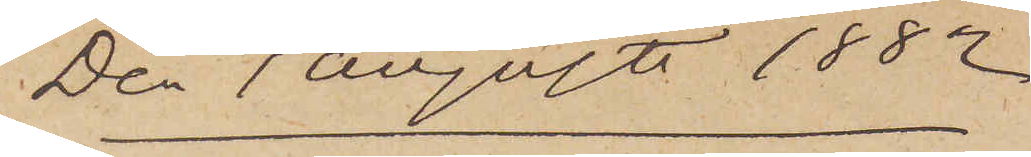Den 1 Augusti 1882
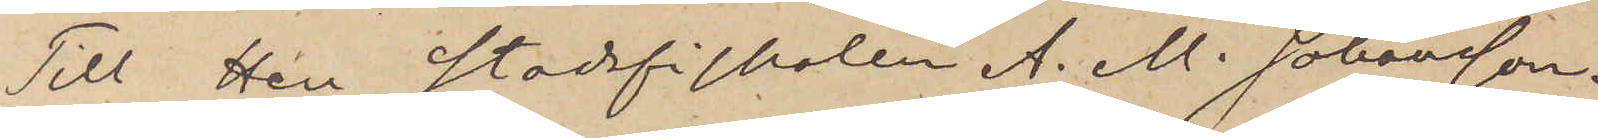Till Herr Stadsfiskalen A. M. Johansson.
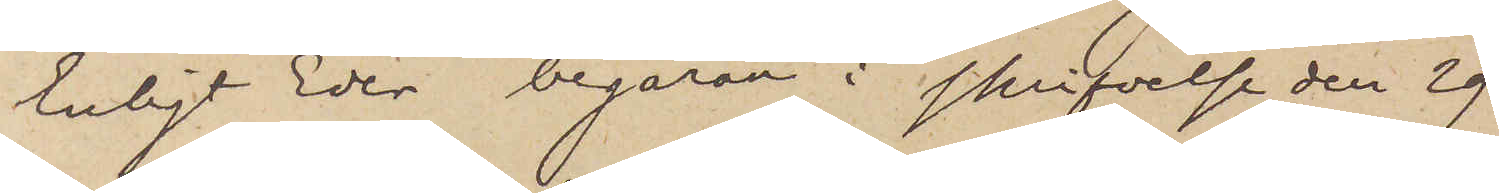Enligt Eder begäran i skrifvelse den 29
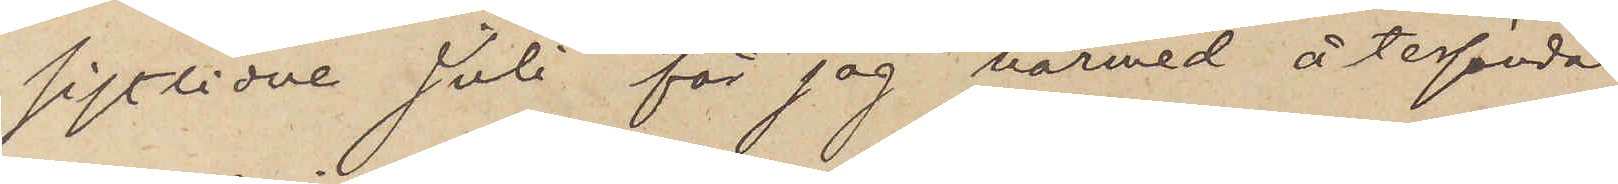sistlidne Juli får jag härmed återsända
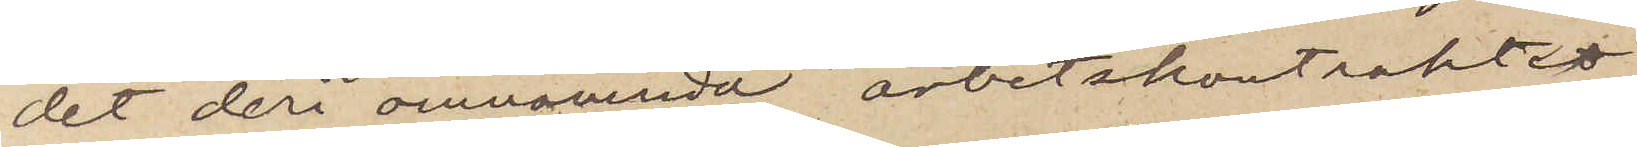det deri omnämnda arbetskontraktet
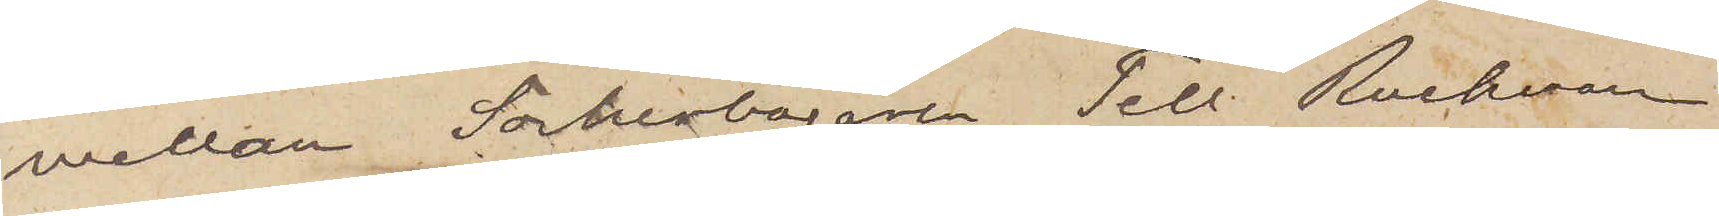mellan Sockerbagare Tell Ruckman
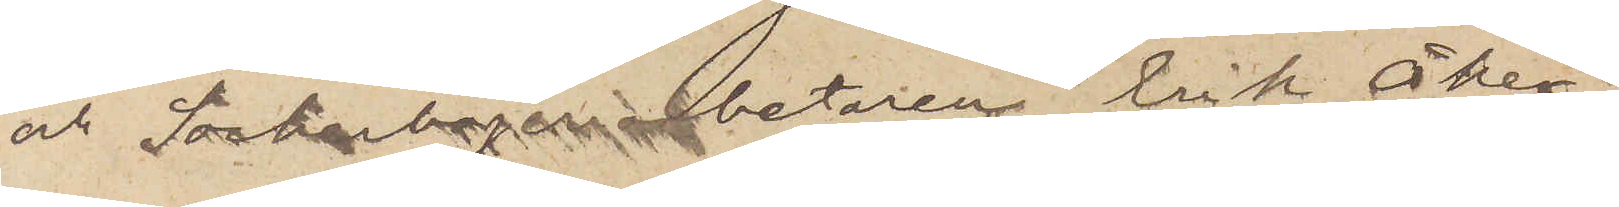och Sockerbageriarbetaren Erik Åker¬
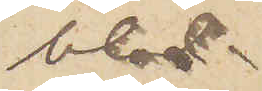blad.
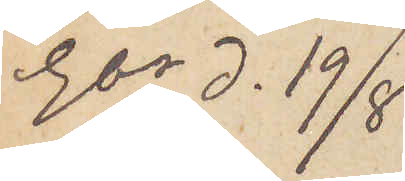Gbg d. 19/8
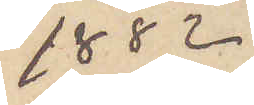1882
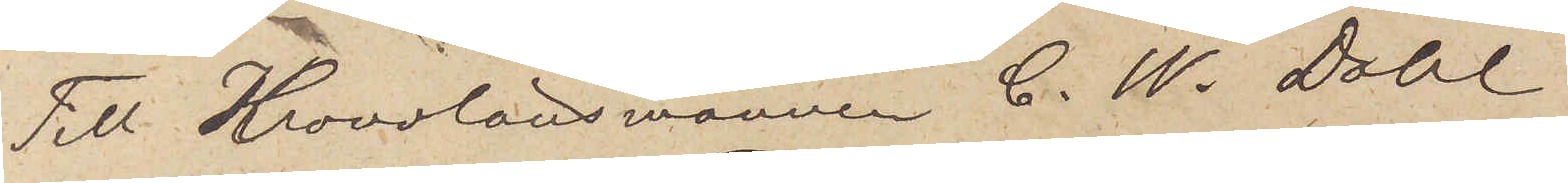Till Kronolänsmannen C. W. Dahl
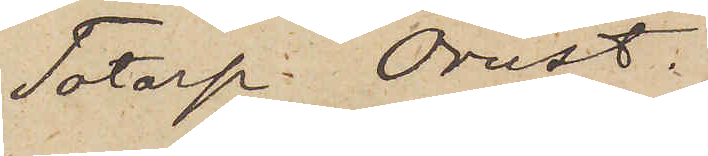Totorp Orust.
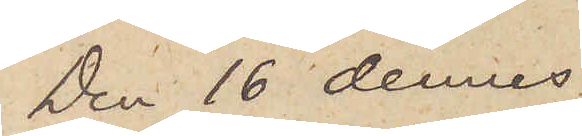Den 16 dennes
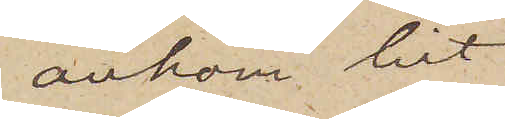ankom hit
